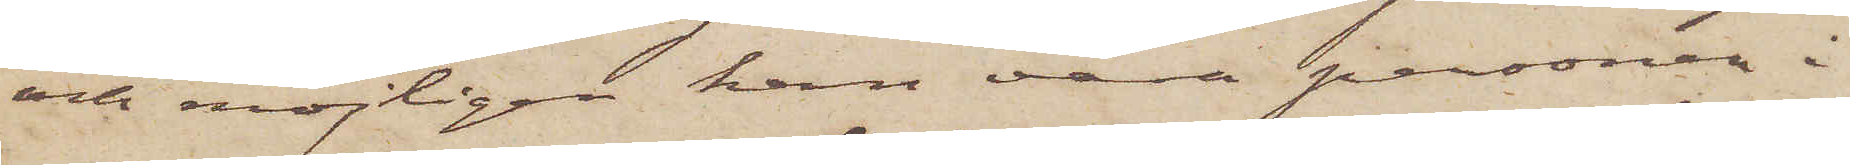och möjligen kan vara personen i
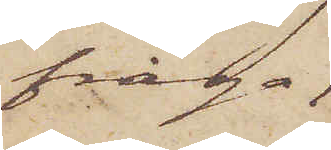fråga,
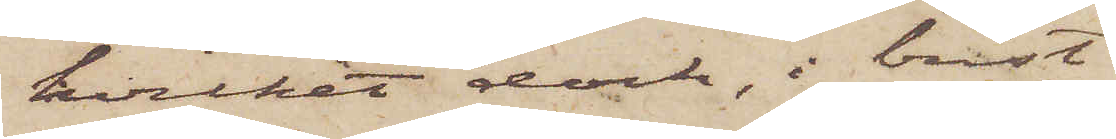hvilket dock, i brist
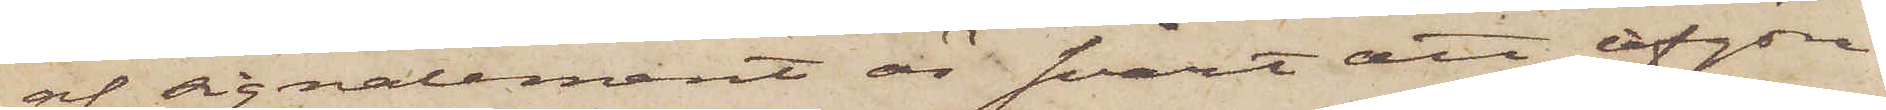af signalement är svårt att afgöra.
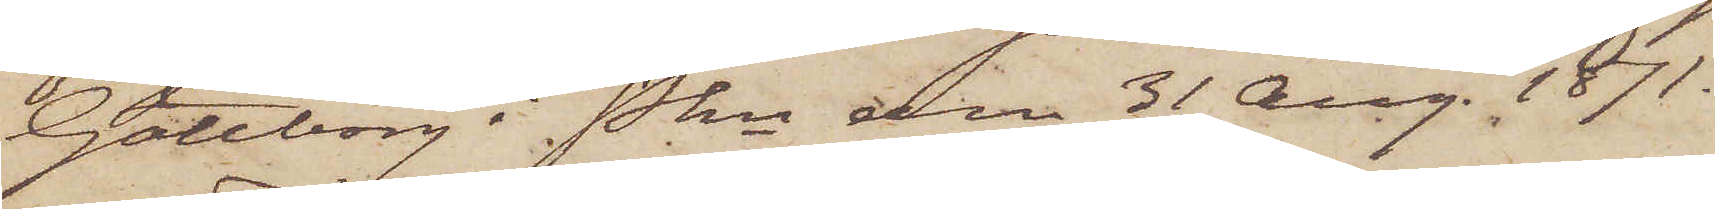Göteborg i Pkn den 31 Aug. 1871.
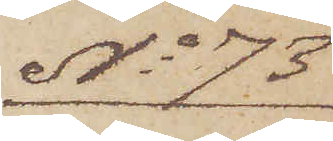No 73
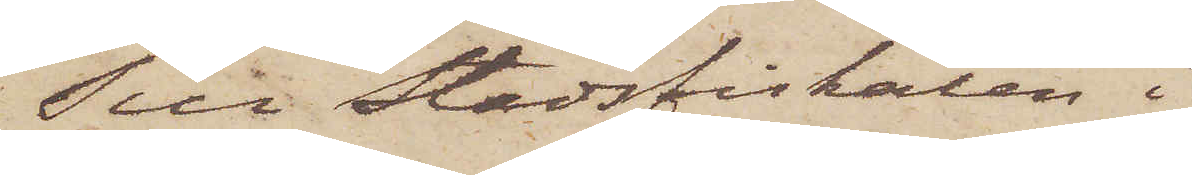Till Stadsfiskalen i
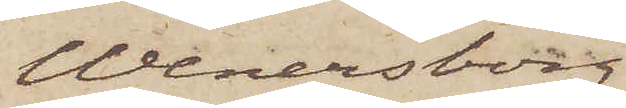Wenersborg
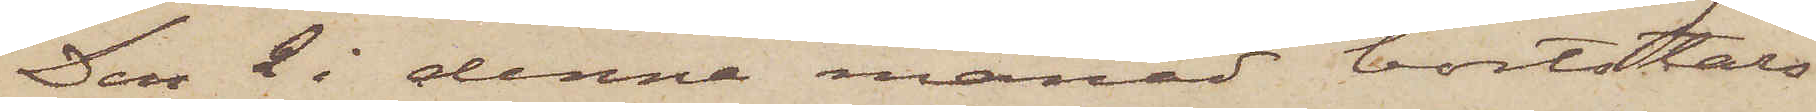Den 2 i denna månad bortstals
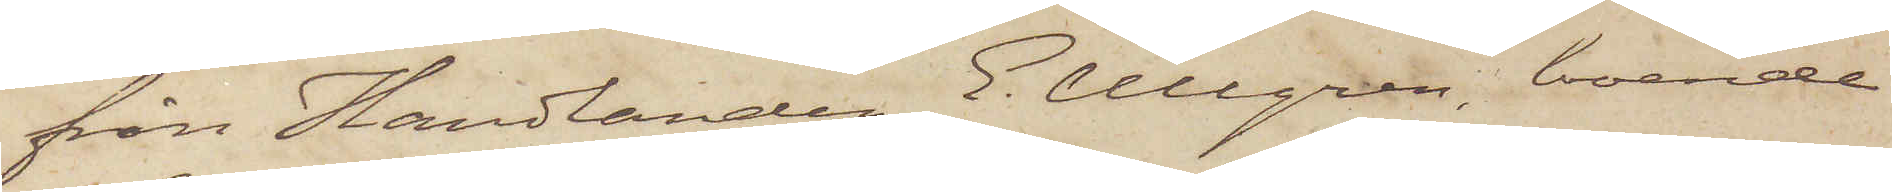från Handlanden E. Ullgren, boende
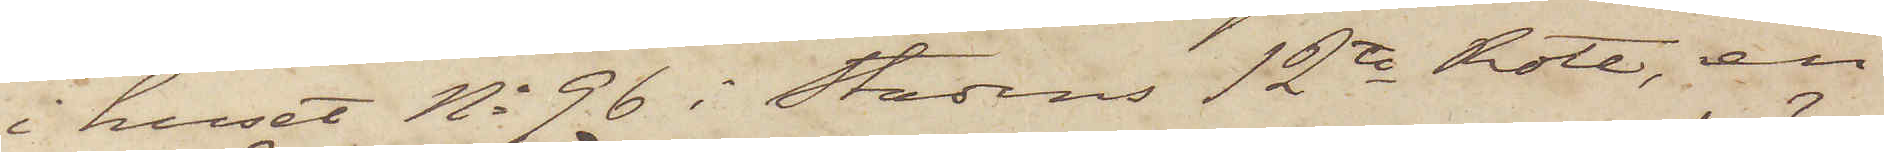i huset No 96 i Stadens 12te Rote, en
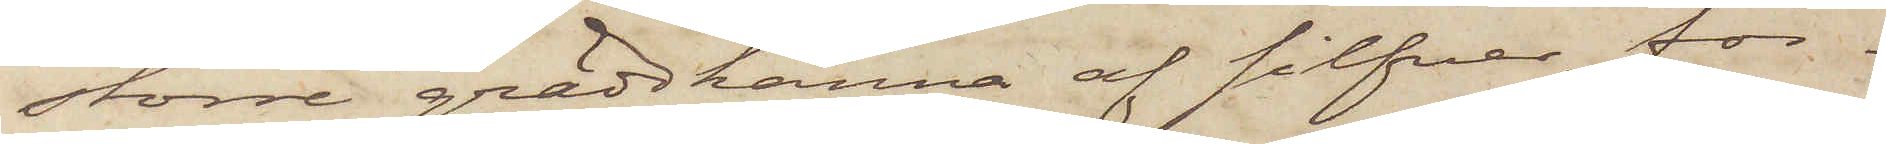större gräddkanna af silfver, för¬
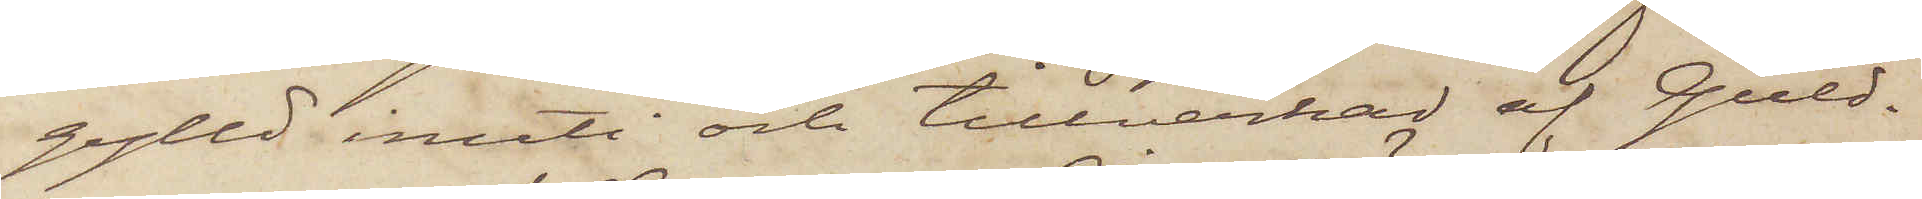gylld inuti och tillverkad af Guld¬
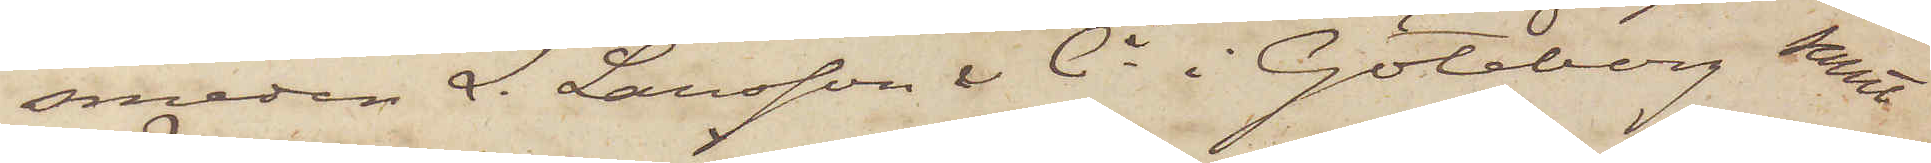smeden L. Larsson & Ci i Göteborg samt
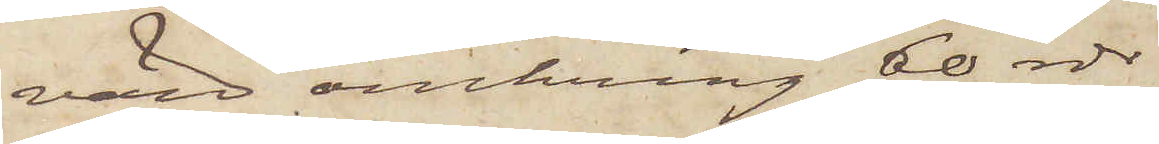värd omkring 60 rdr.
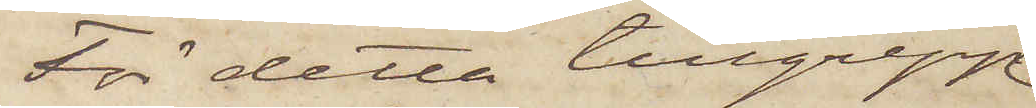För detta tillgrepp
